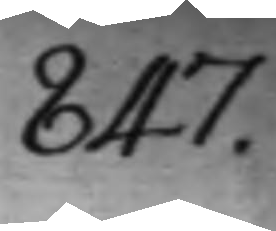847.
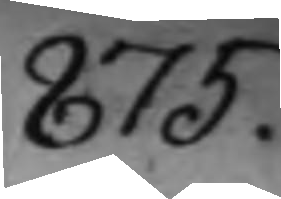875.
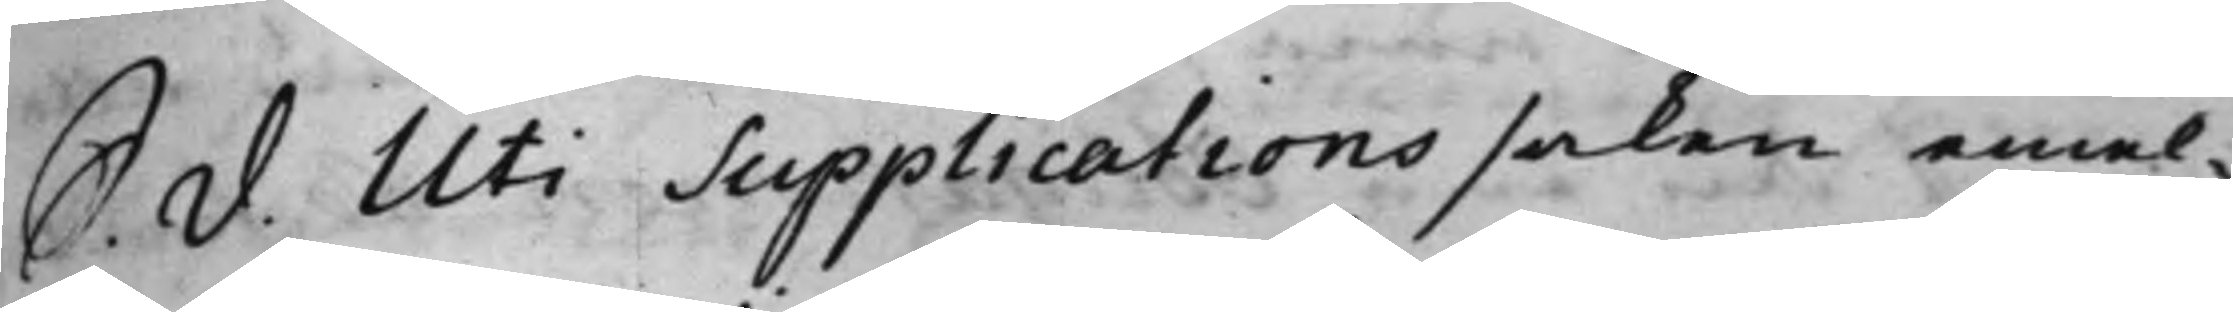S. d. Uti Supplications saken emel¬
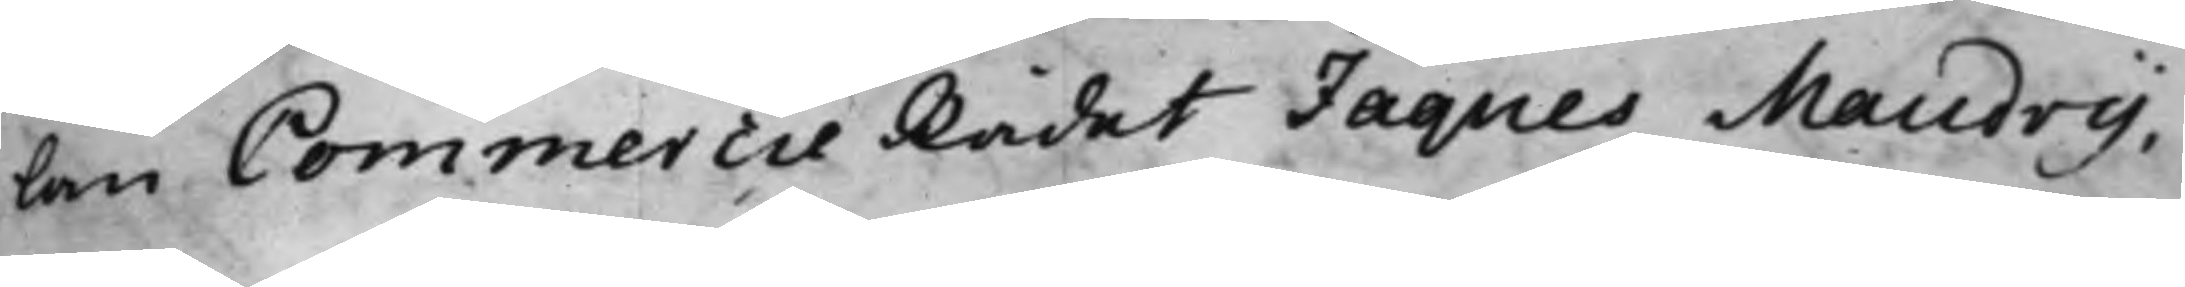lan Commercie Rådet Jaques Maudry,
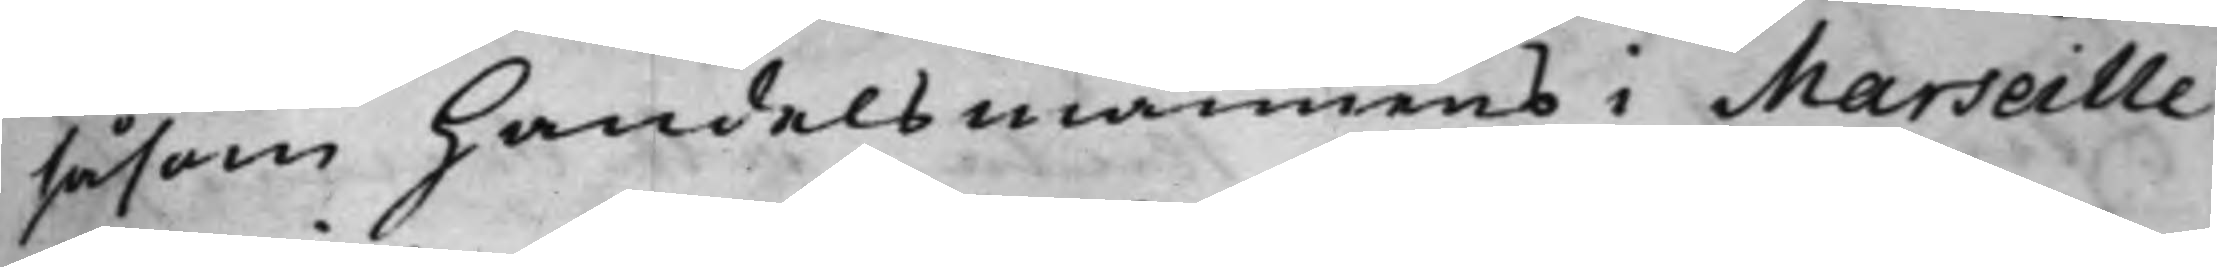såsom Handelsmannens i Marseille
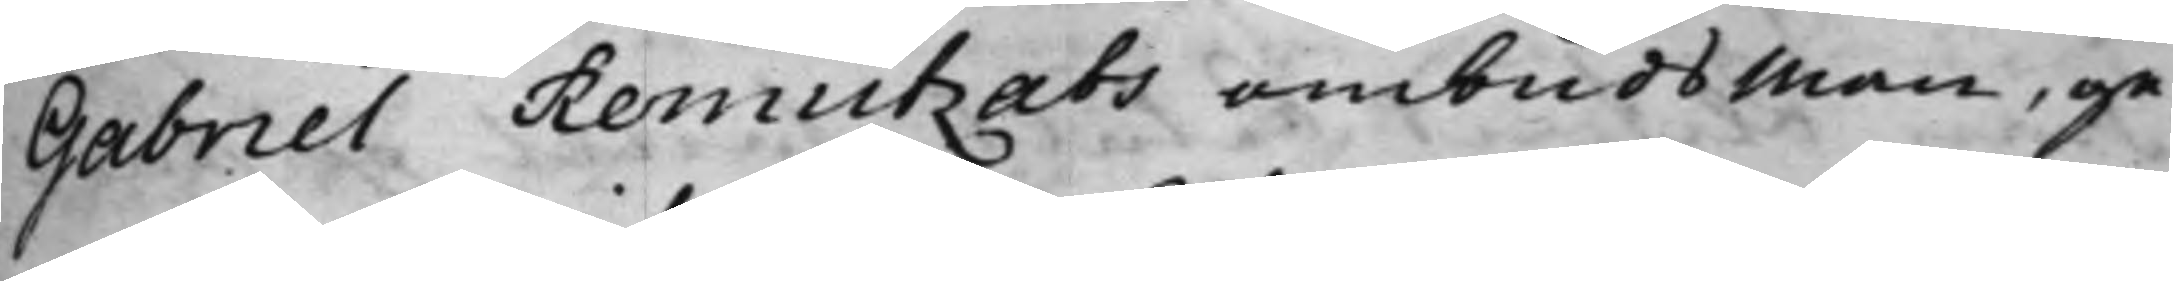Gabriel Remutzats ombudsman, ge¬
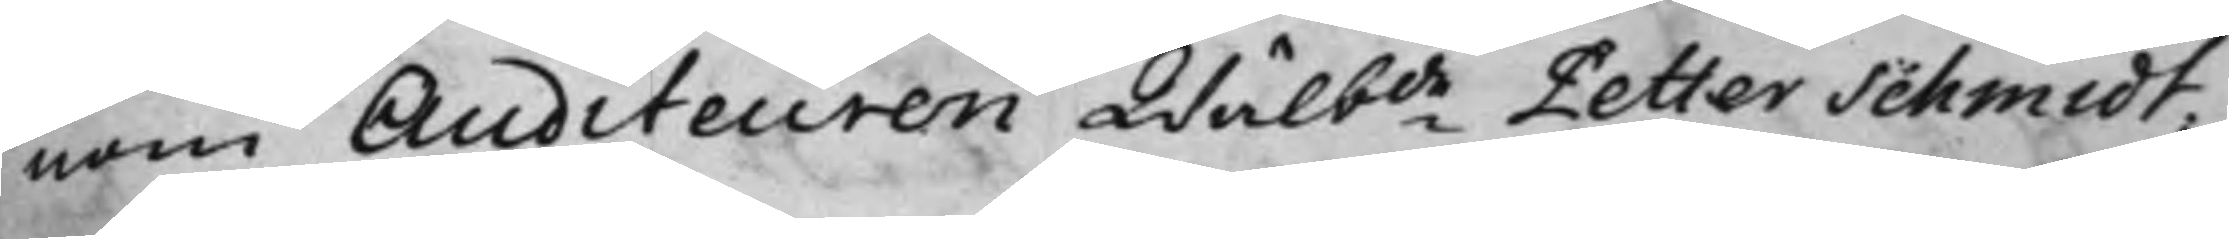nom Auditeuren Wälbde Petter Schmidt;
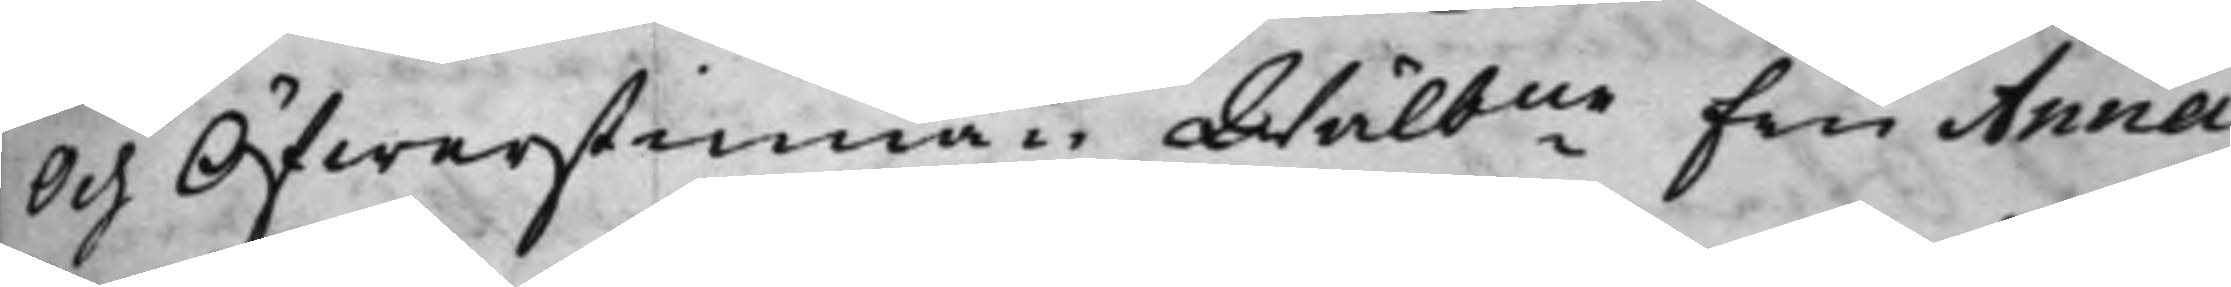Och Öfwerstinnan Wälbne Fru Anna
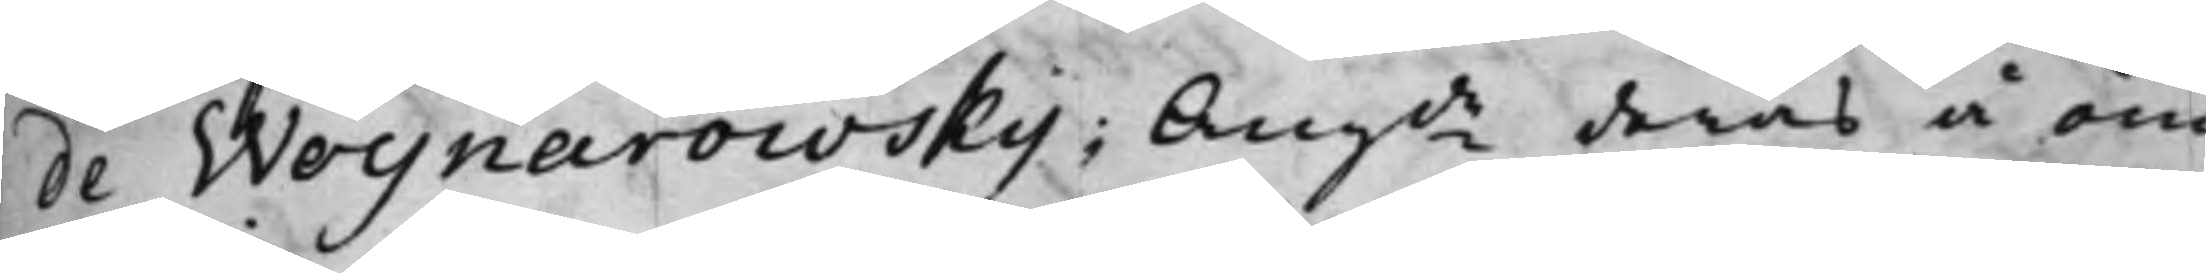de Woynarowsky; Angde deras å öm¬
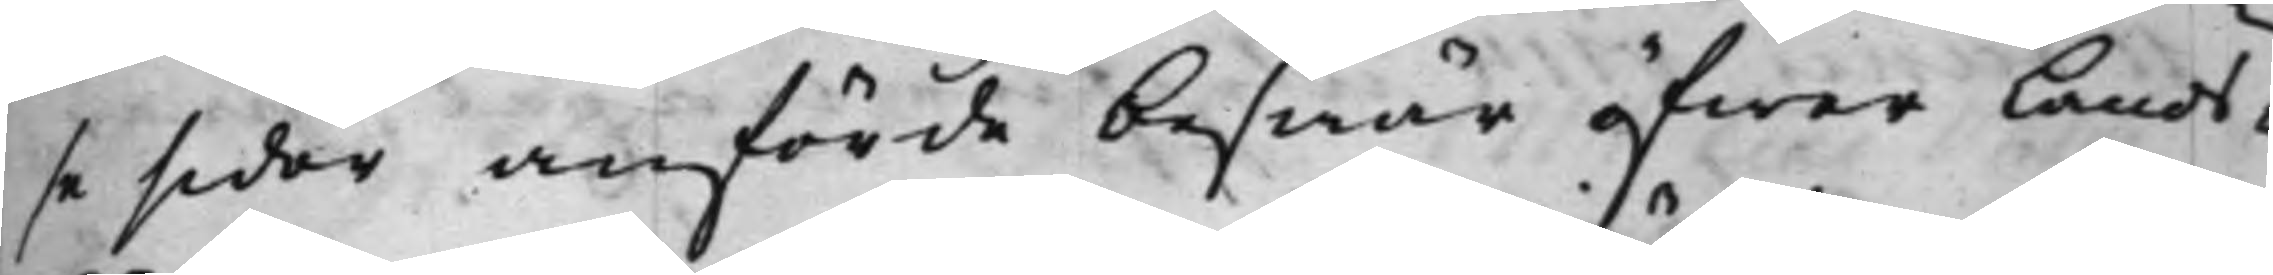se sidor anförde beswär öfwer Lands¬
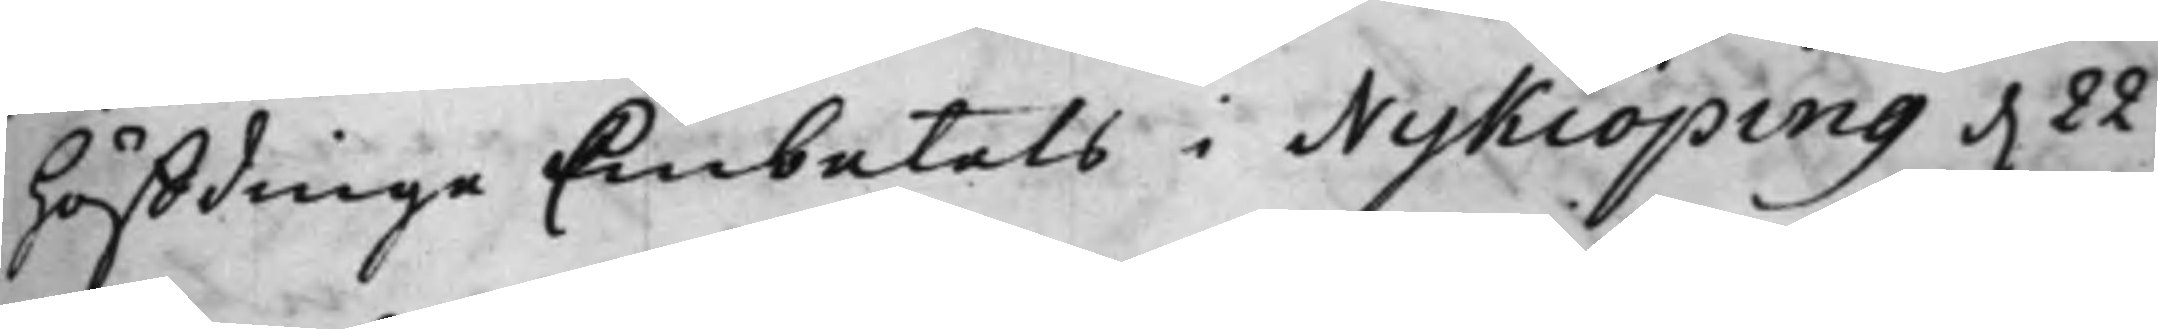höffdinge Embetets i Nykiöping d. 22
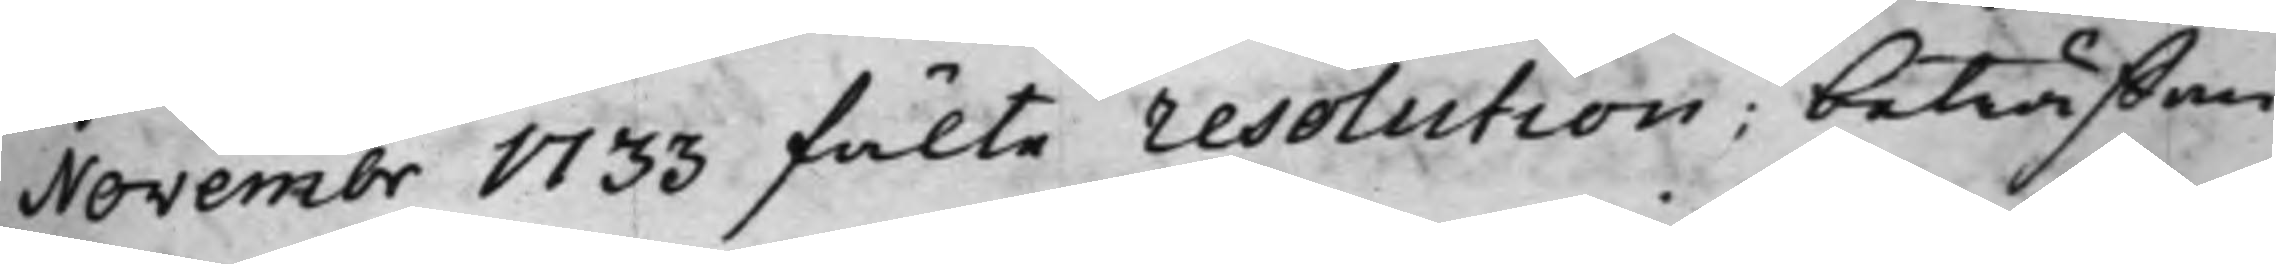Novembr 1733 fälte resolution; beträffan¬
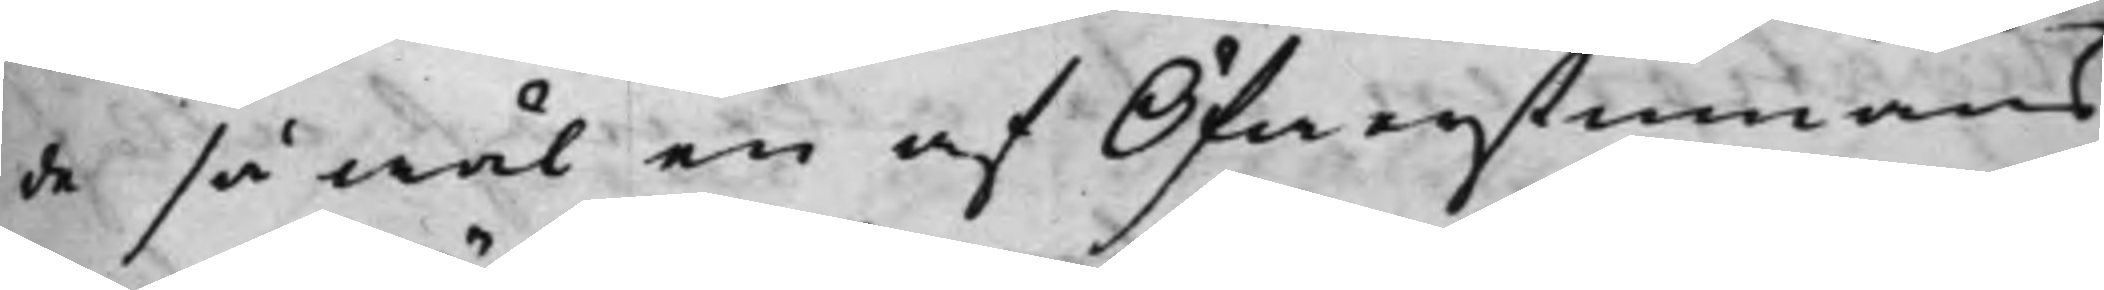de så wäl en af Öfwerstinnans
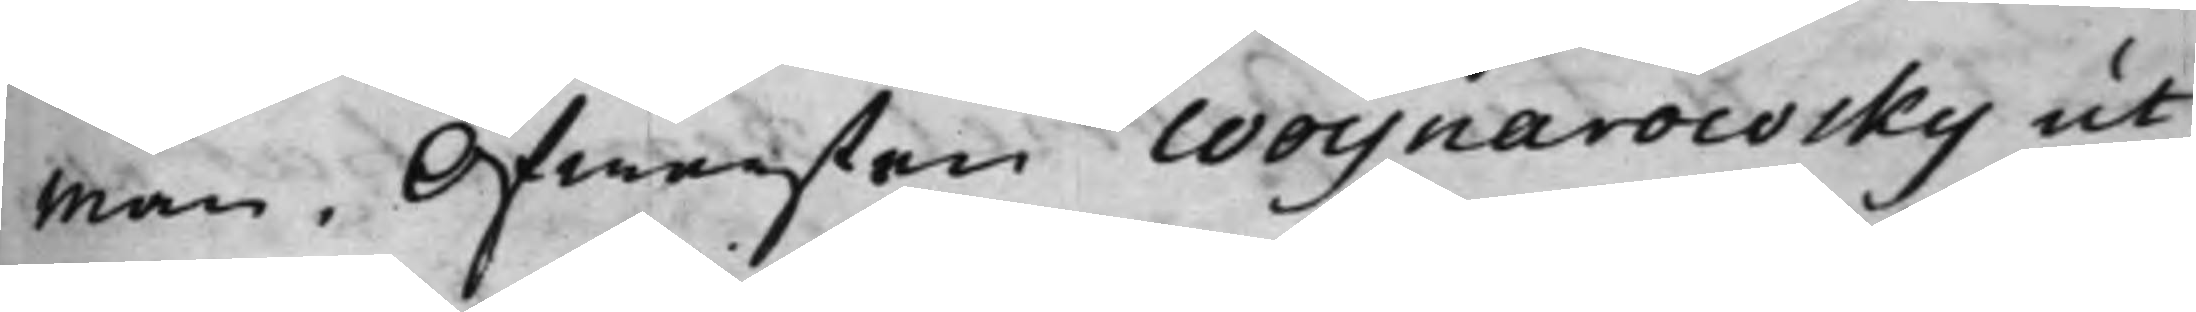man, Öfwersten Woynarowsky ut¬
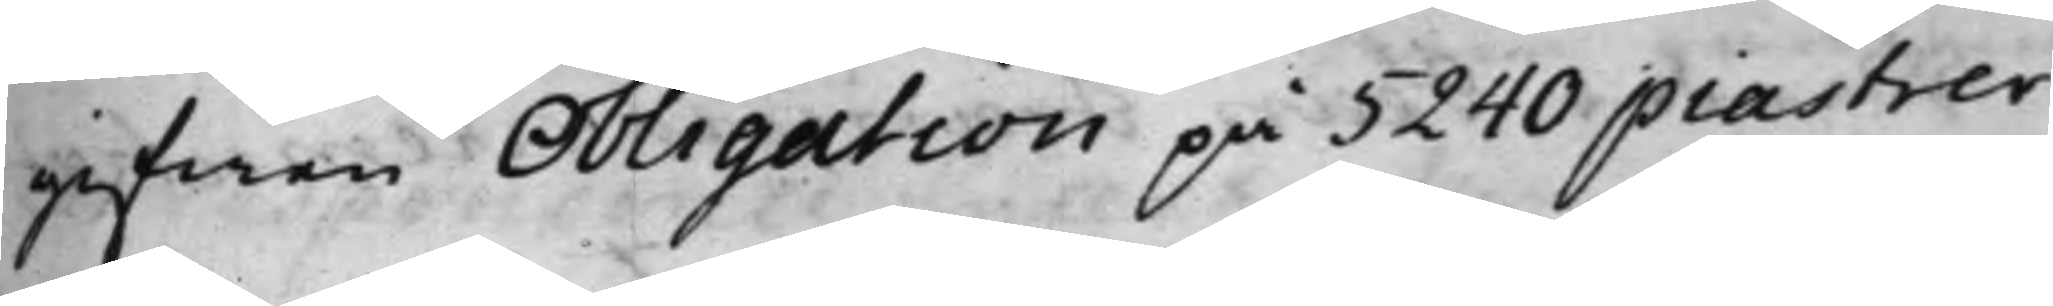gifwen Obligation på 5240 piastrer,
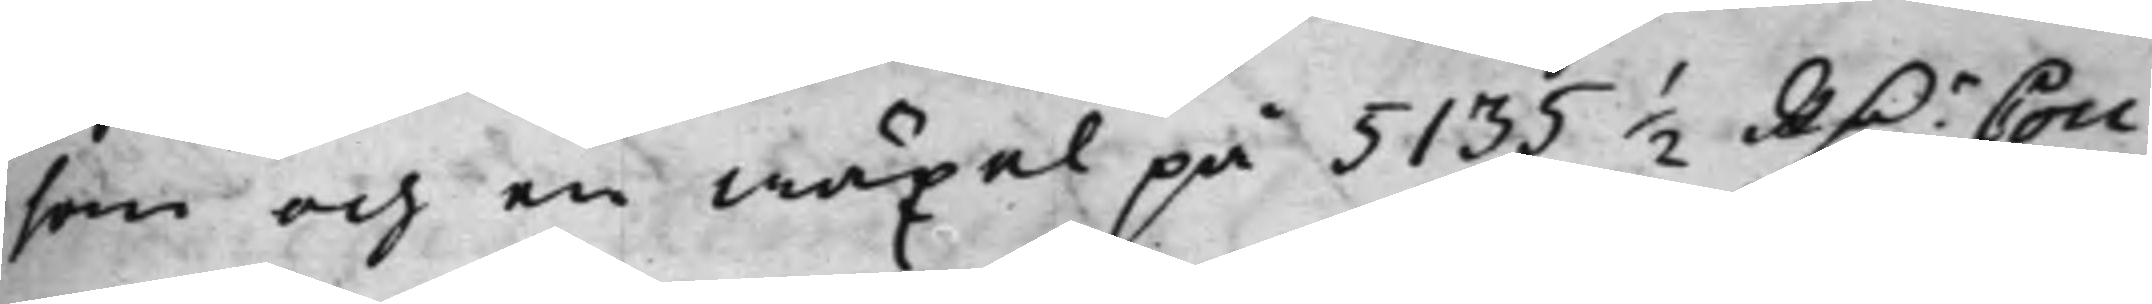som och en wäxel på 5135 ½ RD.r Cou¬
